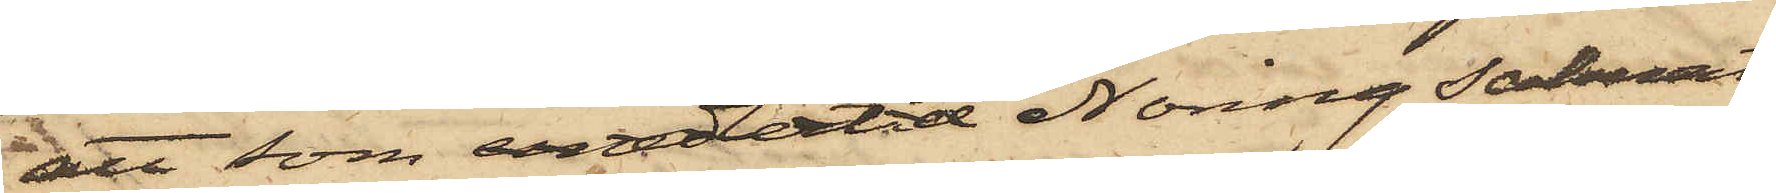att som emeldertid Noring saknat
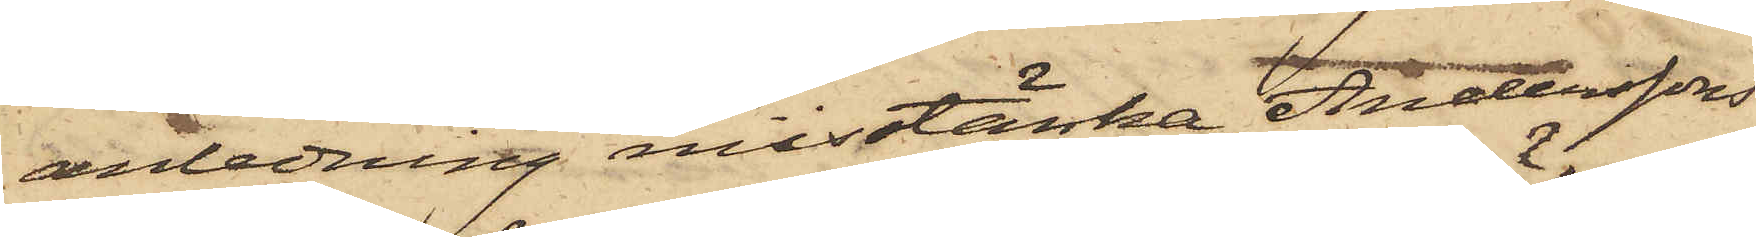anledning misstänka Anderssons
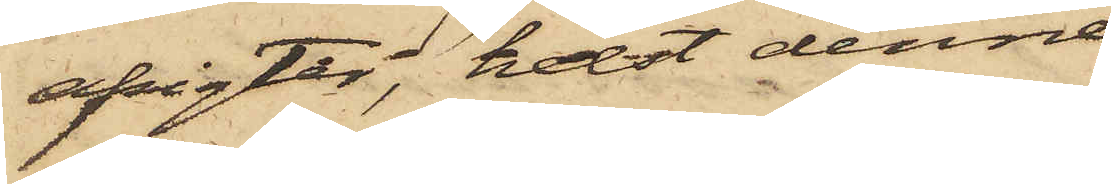afsigter; helst denne
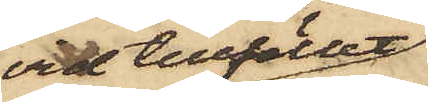vid tillfället
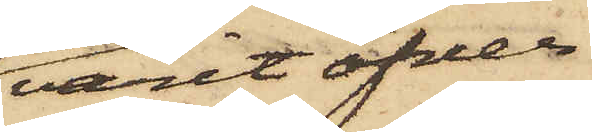varit öfver¬
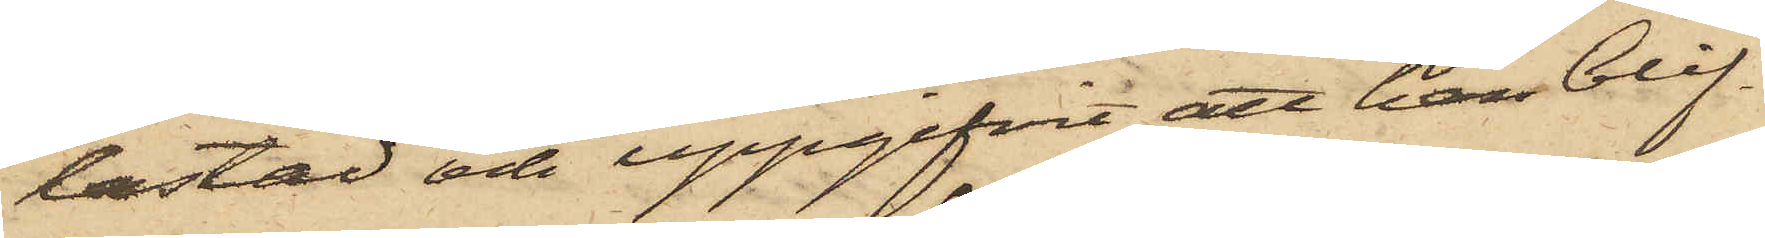lastad och uppgifvit att han blif¬
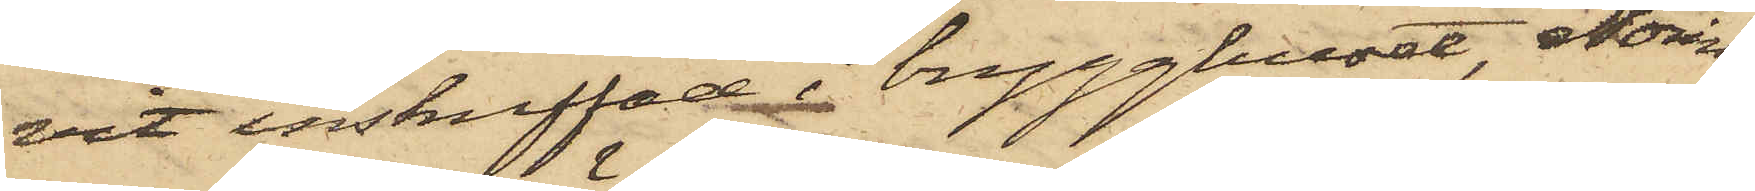vit inskuffad i brygghuset, Noring
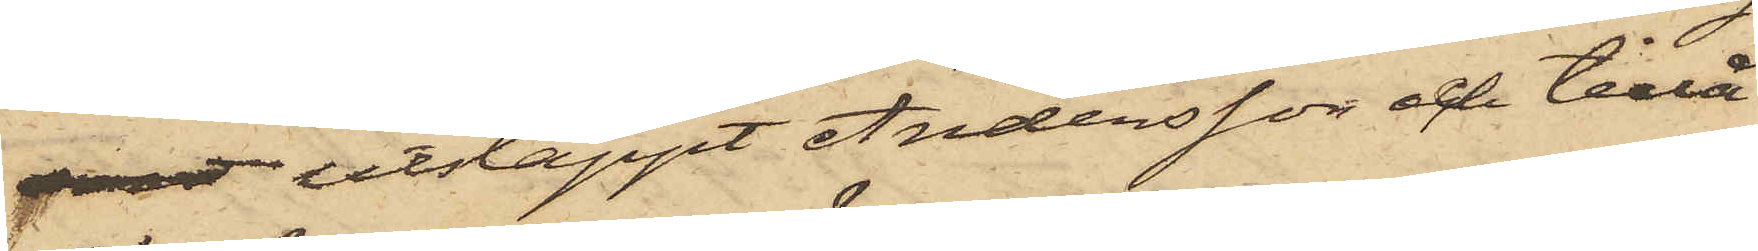snart utsläppt Andersson och tillå¬
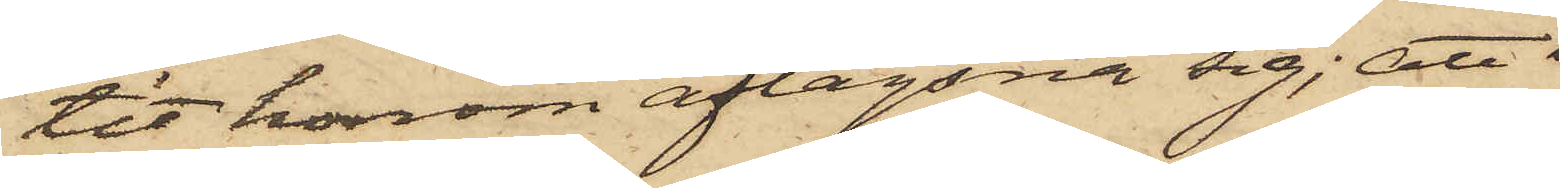tit honom aflägsna sig; att 
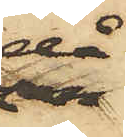då
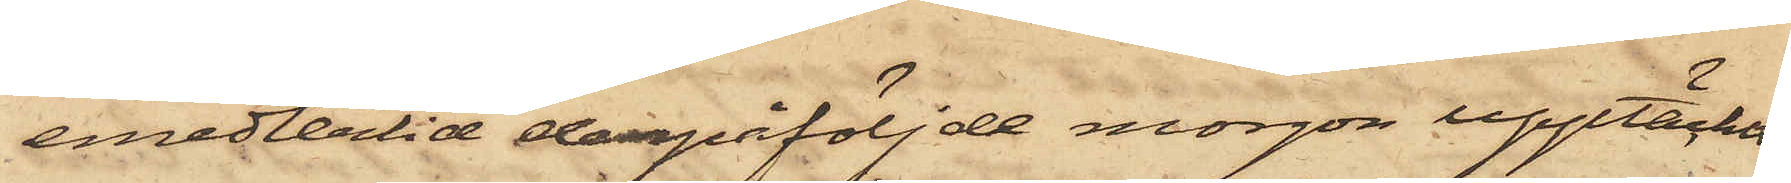emedlertid derpåföljde morgon upptäckts
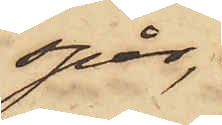spår,
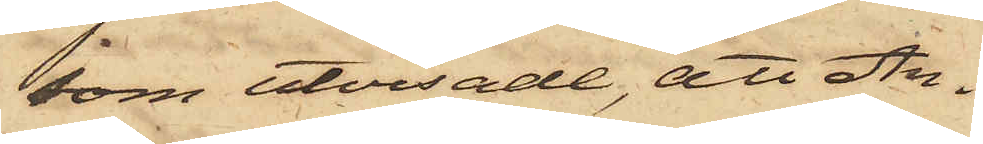som utvisade, att An¬
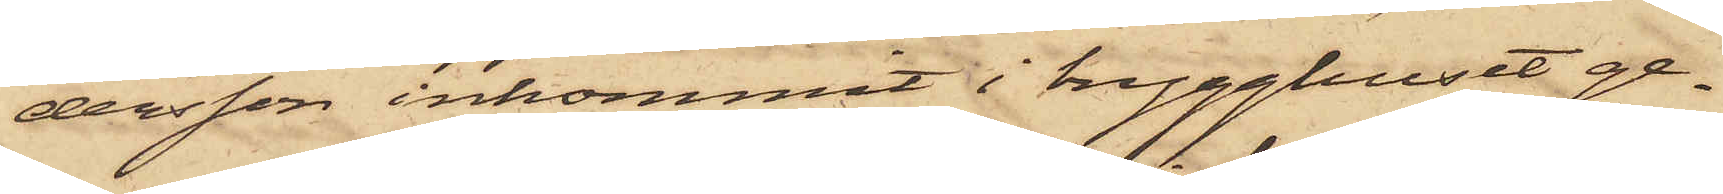dersson inkommit i brygghuset ge¬
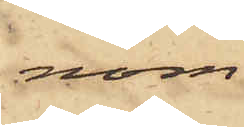nom
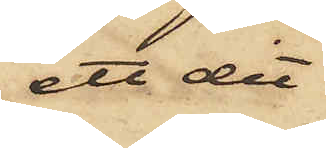ett dit
